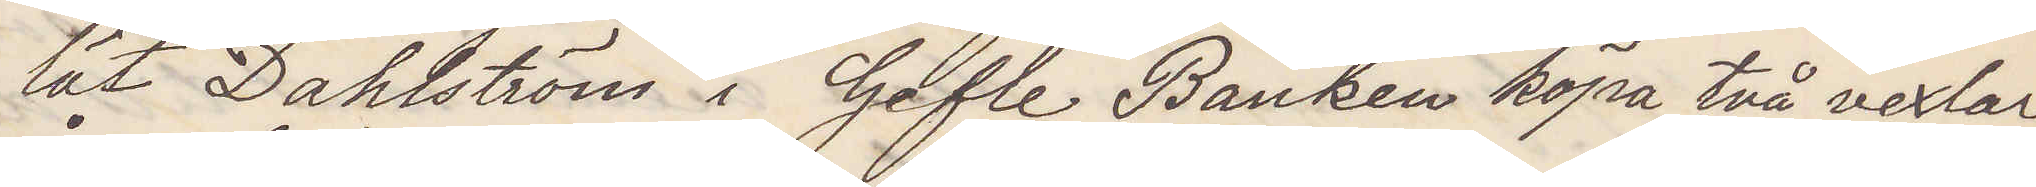lät Dahlström i Gefle Banken köpa två vexlar
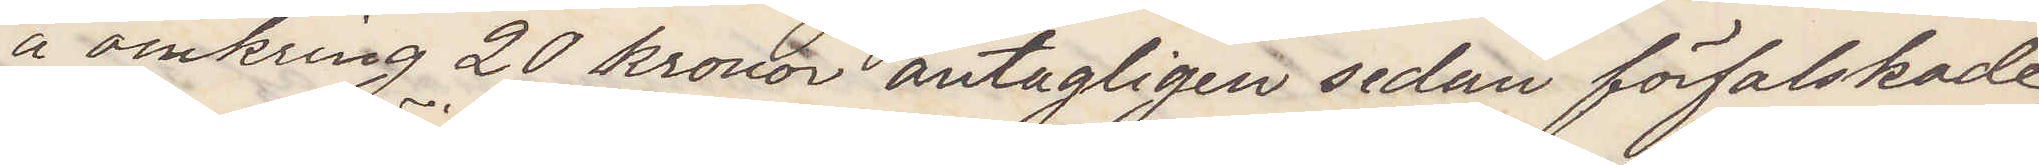å omkring 20 kronor antagligen sedan förfalskade
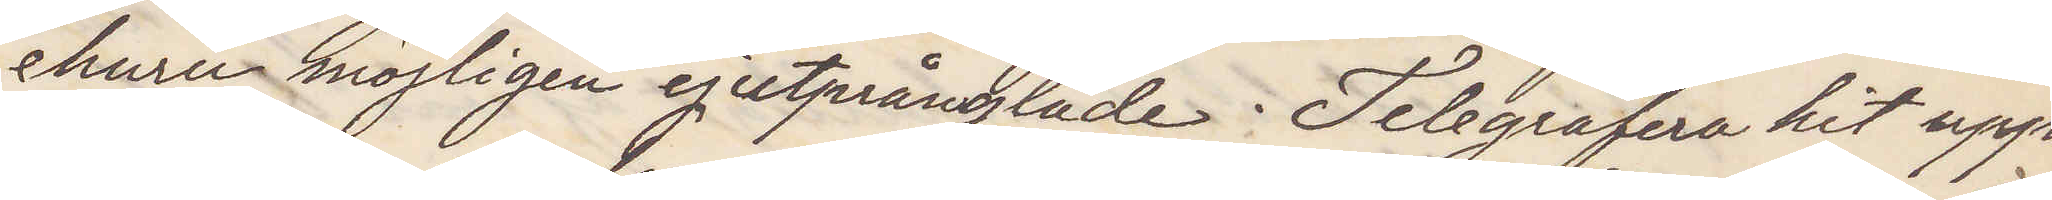ehuru möjligen ej utprånglade Telegrafera hit upp¬
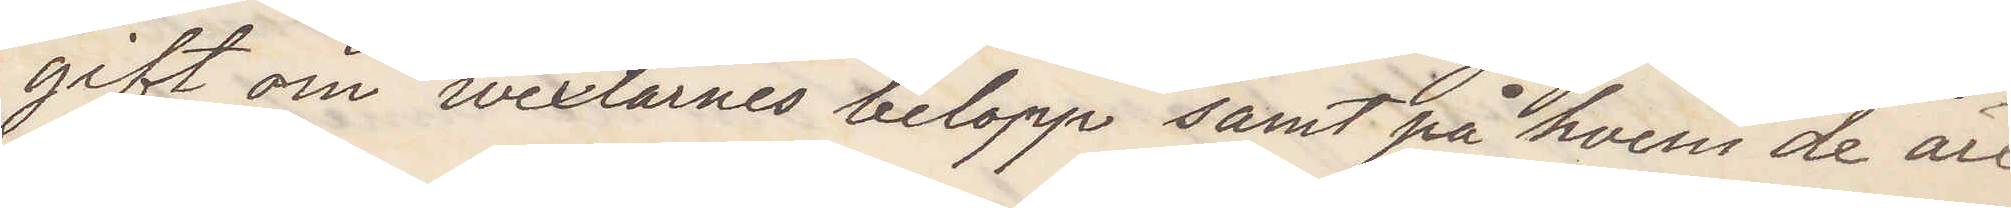gift om vexlarnes belopp samt på hvem de äro
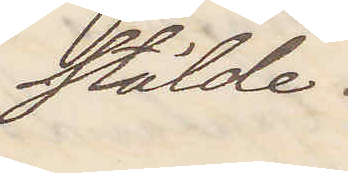stälde.
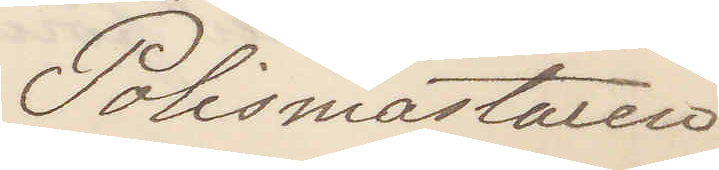Polismästaren
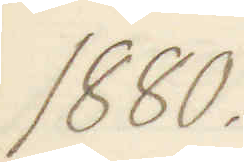1880.
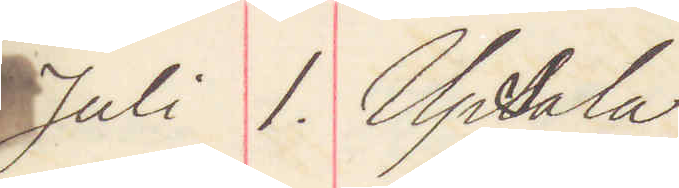Juli 1. Upsala
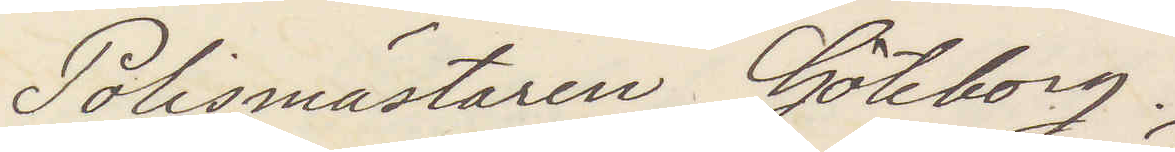Polismästaren Göteborg.
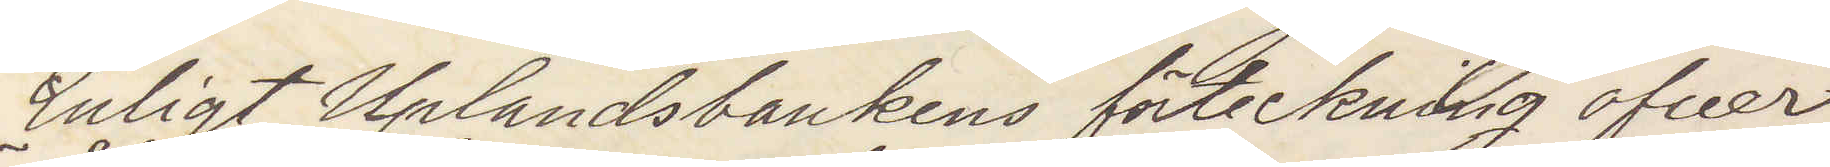Enligt Uplandsbankens förteckning öfver
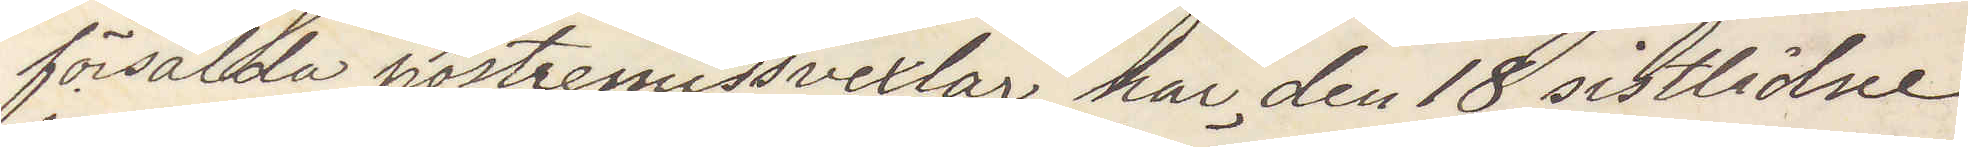försålda postremissvexlar har den 18 sistlidne
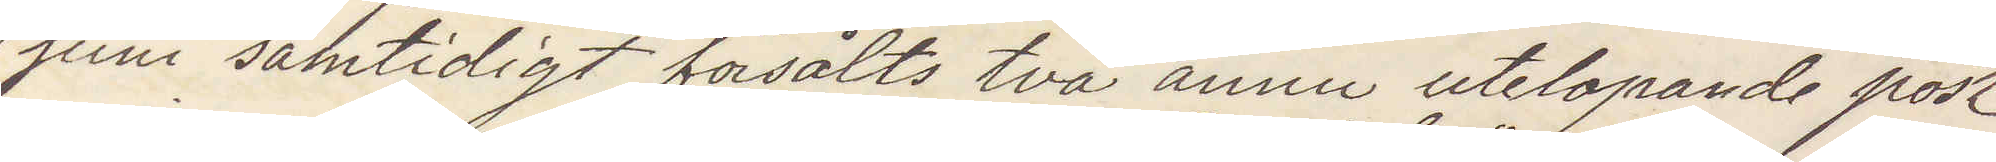juni samtidigt försålts två ännu utelopande post¬
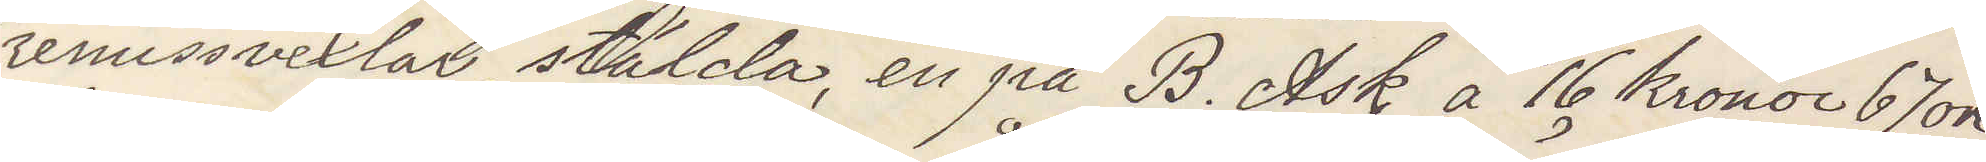remissvexlar stälda en på B Ask å 16 kronor 67 öre
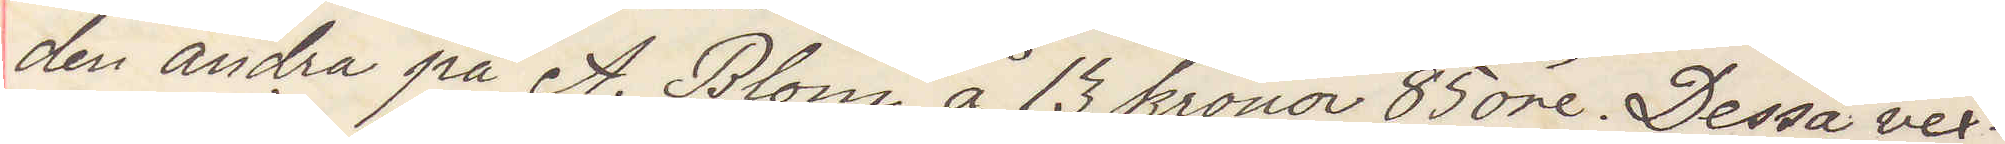den andra på A. Blom å 13 kronor 85 öre Dessa vex¬
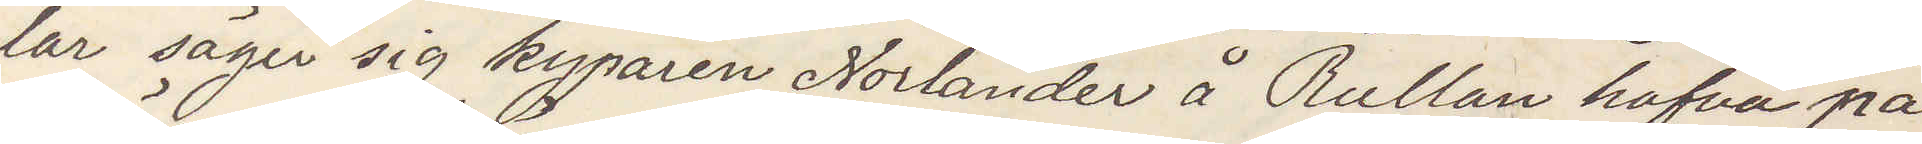lar säger sig kyparen Norlander å Rullan hafva på
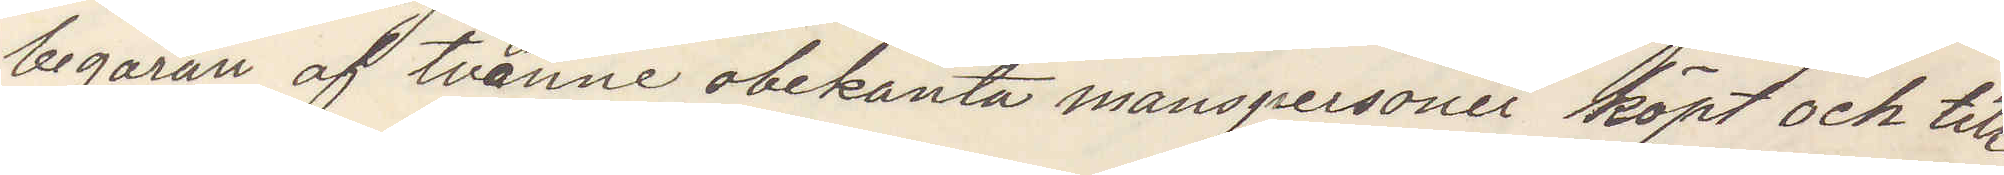begäran af tvenne obekante manspersoner köpt och till
